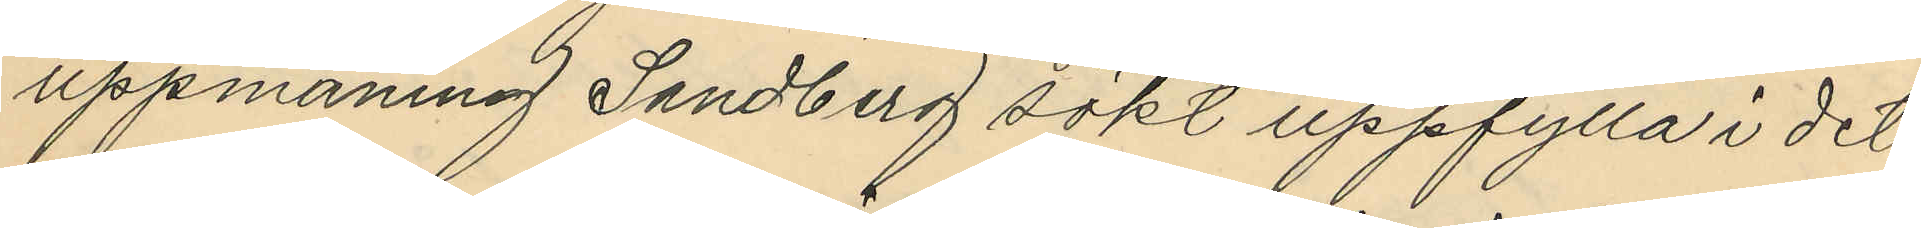uppmaning Sandberg sökt uppfylla i det
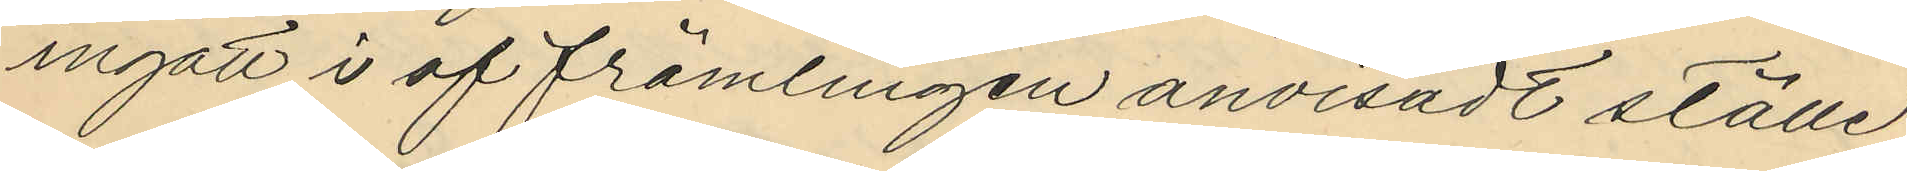ingått i af främlingen anvisadt ställe
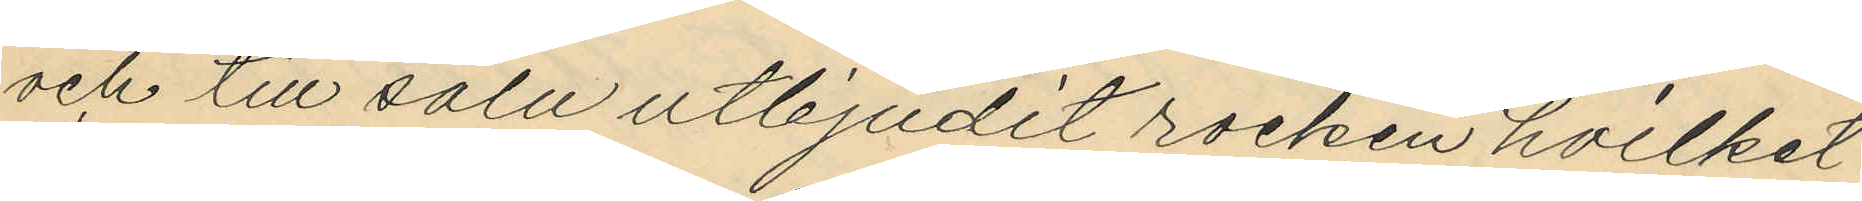och till salu utbjudit rocken hvilket
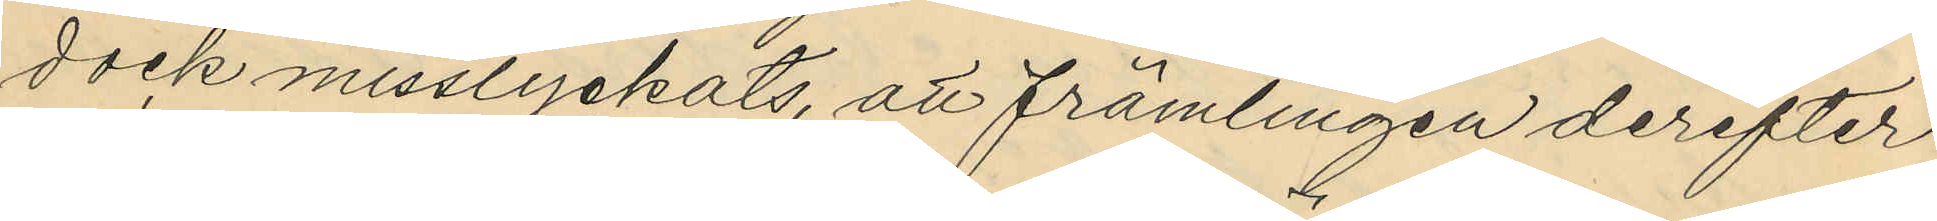dock misslyckats, att främlingen derefter
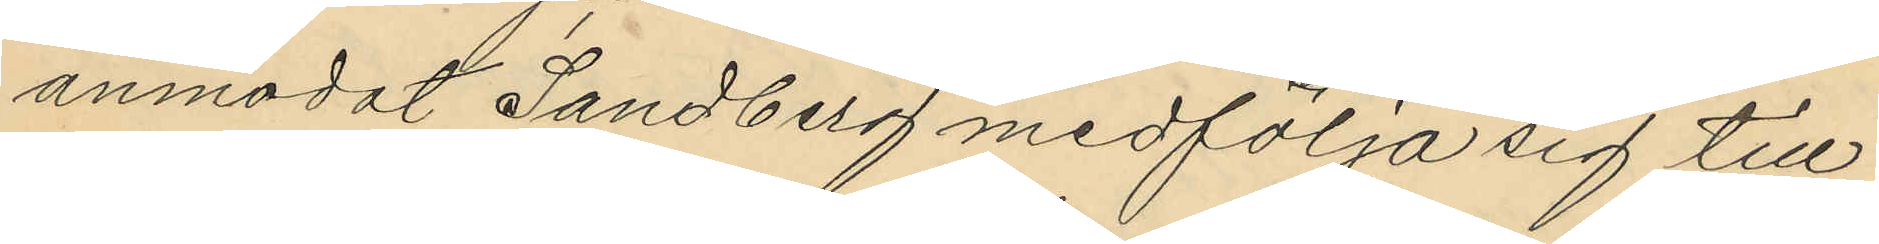anmodat Sandberg medfölja sig till
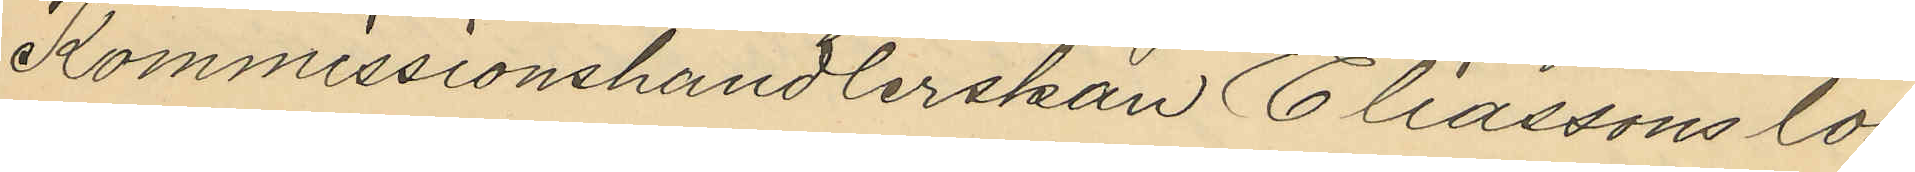Kommissionshandlerskan Eliassons lo¬
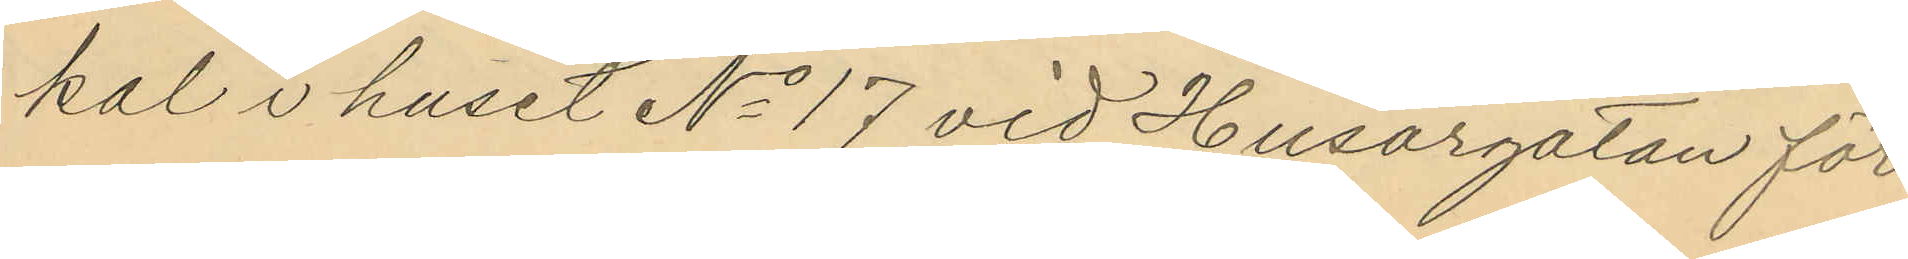kal i huset No 17 vid Husargatan för
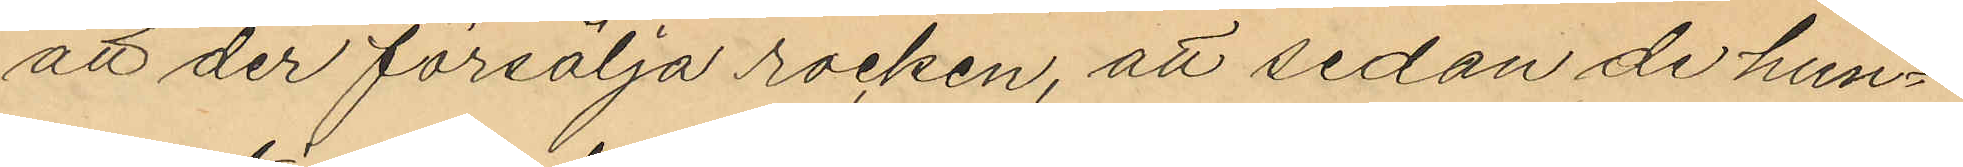att der försälja rocken, att sedan de hun¬
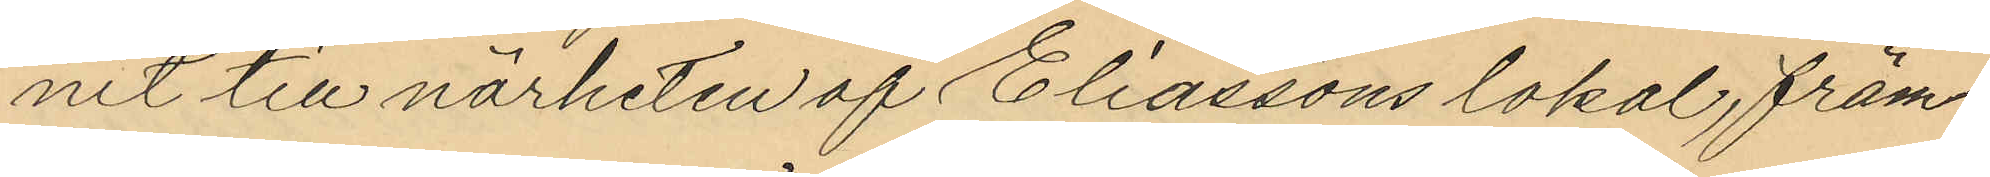nit till närheten af Eliassons lokal, främ¬
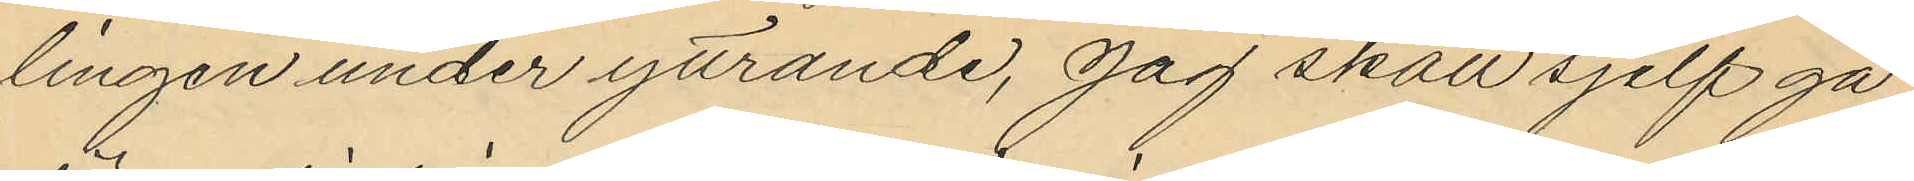lingen under yttrande, "jag skall sjelf gå
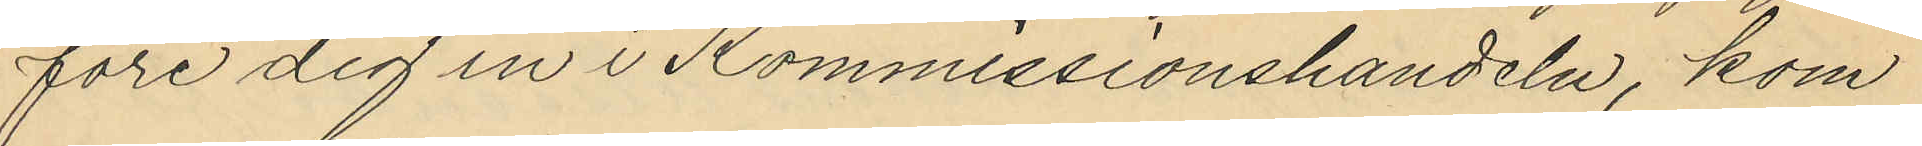före dig in i Kommissionshandeln, kom
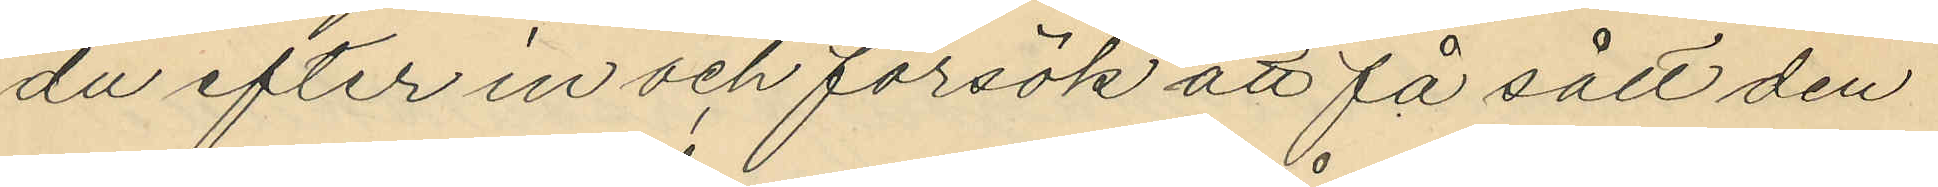du efter in och försök att få sålt den
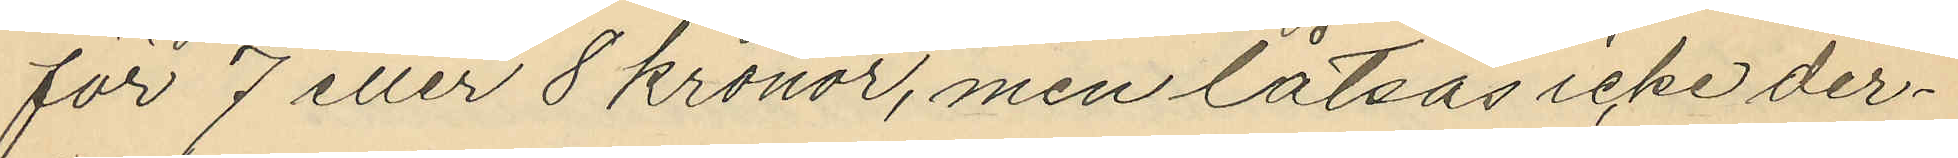för 7 eller 8 kronor, men låtsas icke der¬
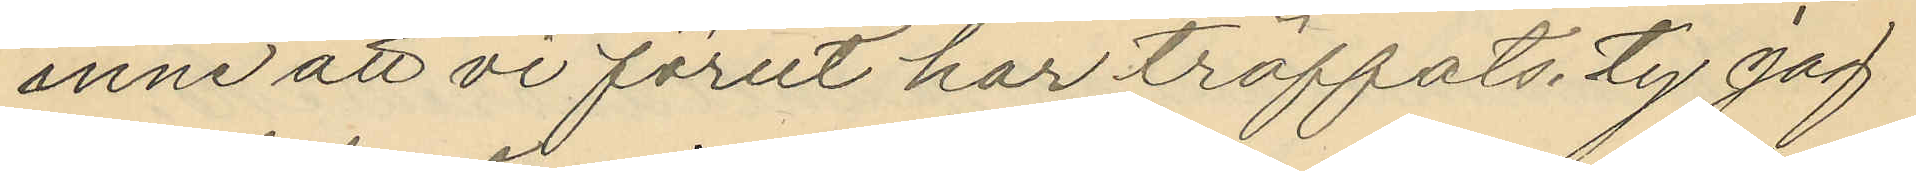inne att vi förut har träffats, ty jag
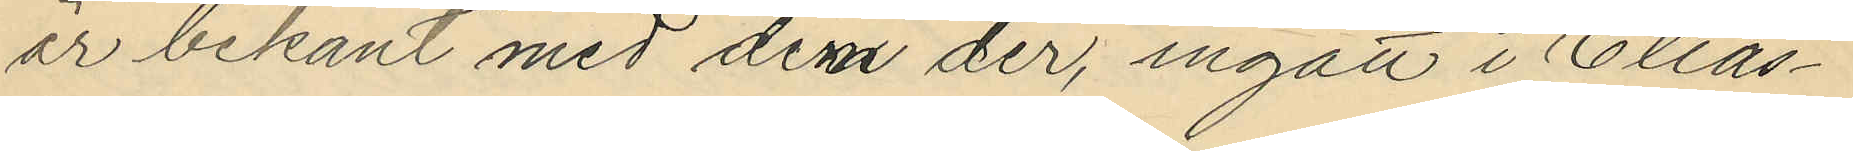år bekant med dem der, ingått i Elias¬
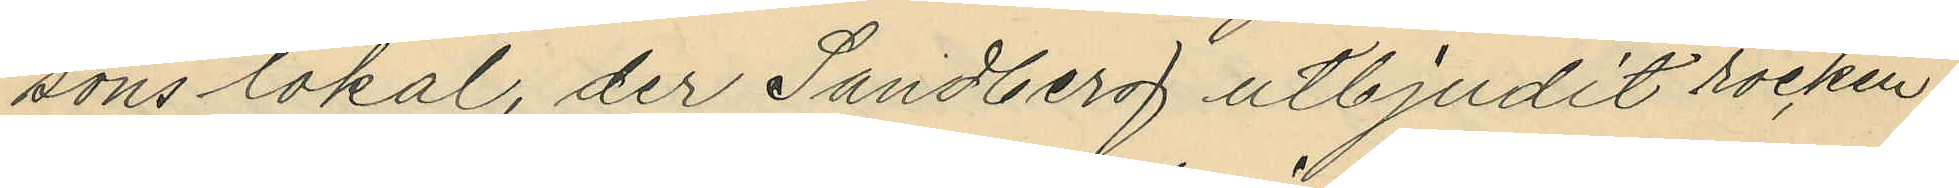sons lokal, der Sandberg utbjudit rocken
